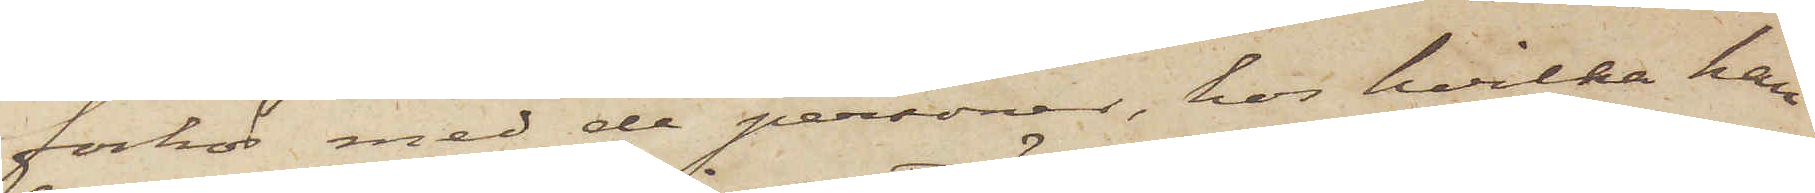förhör med de personer, hos hvilka han
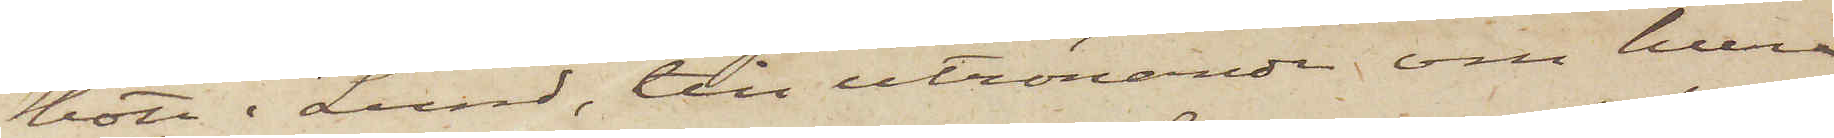bott i Lund, till utrönande om huru
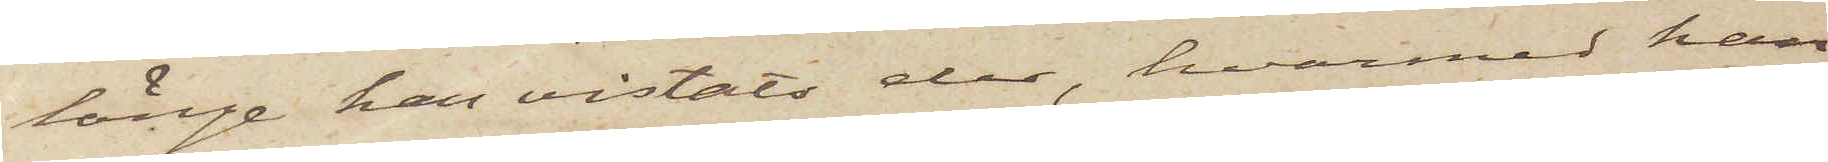länge han vistats der, hvarmed han
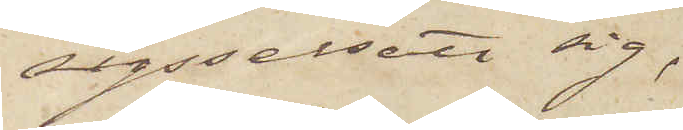sysselsatt sig,
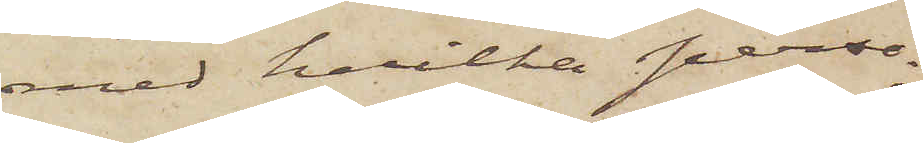med hvilka perso¬
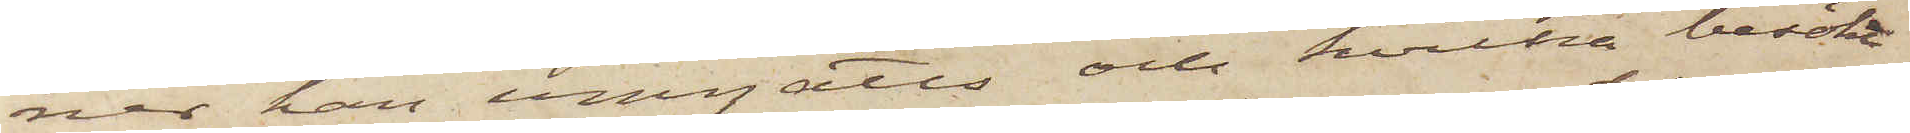ner han umgåtts och hvilka besökt
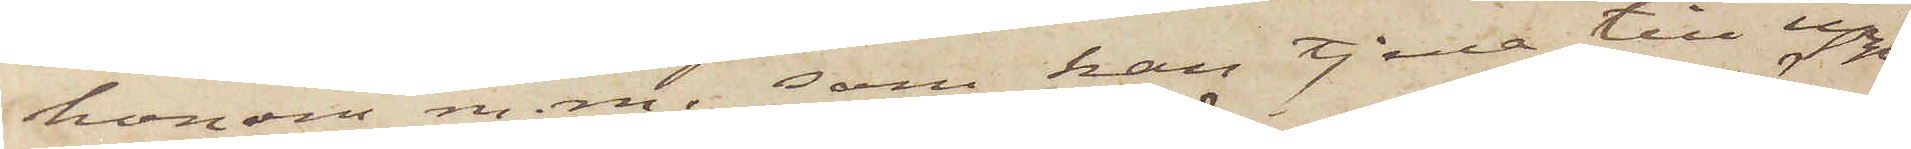honom m. m. som kan tjena till upp¬
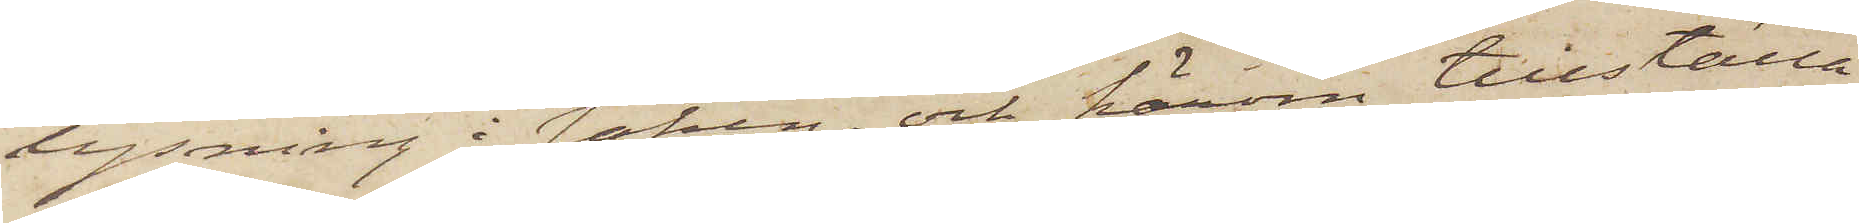lysning i saken, och härom tillställa
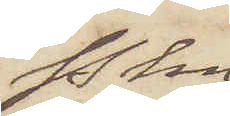Pkn
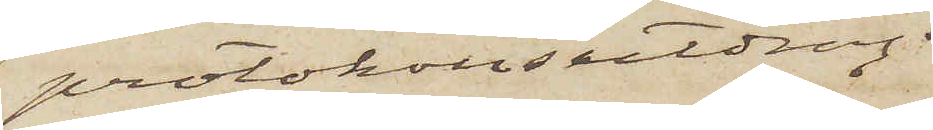protokollsutdrag.
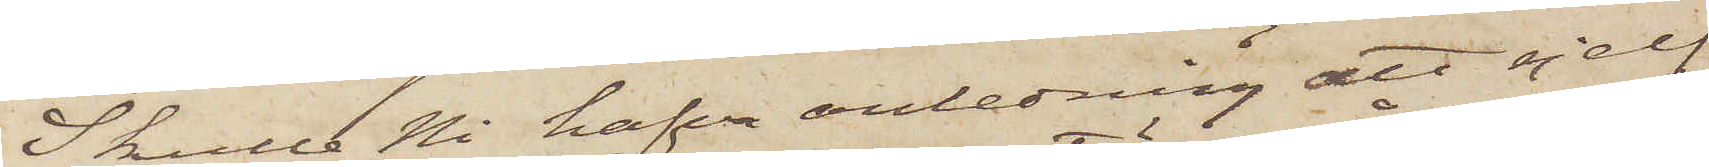Skulle Ni hafva anledning att sjelf
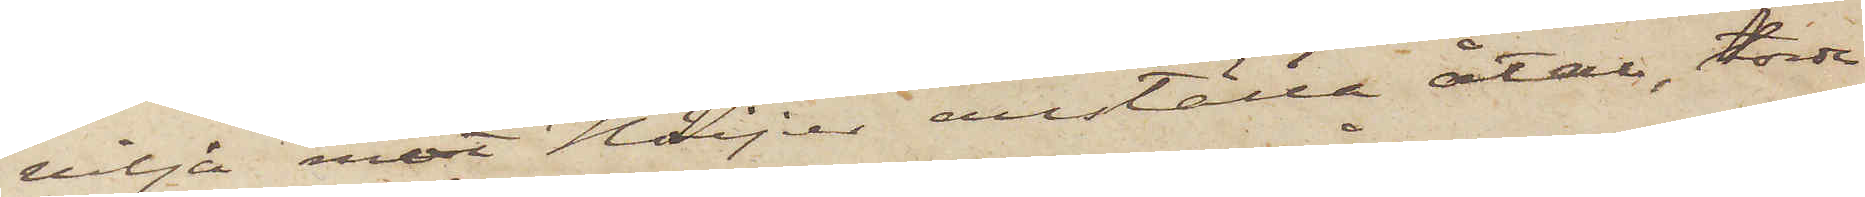vilja mot Höijer anställa åtal, torde
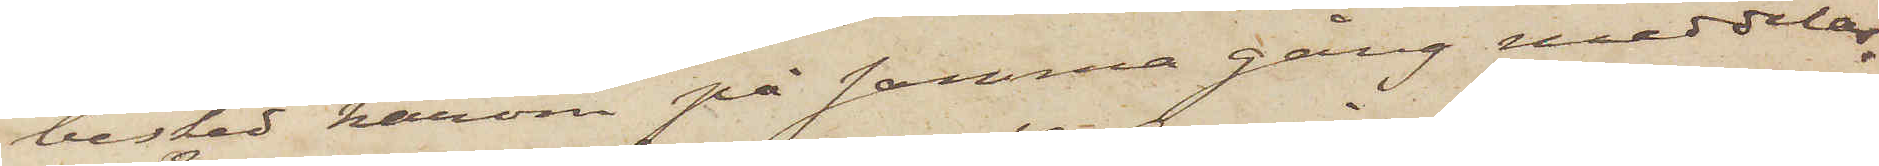besked härom på samma gång meddelas.
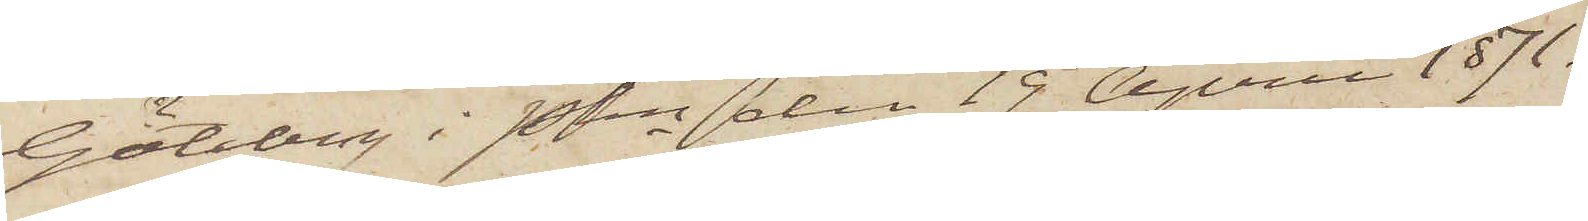Göteborg i Pkn den 19 April 1871.
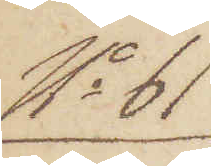No 61
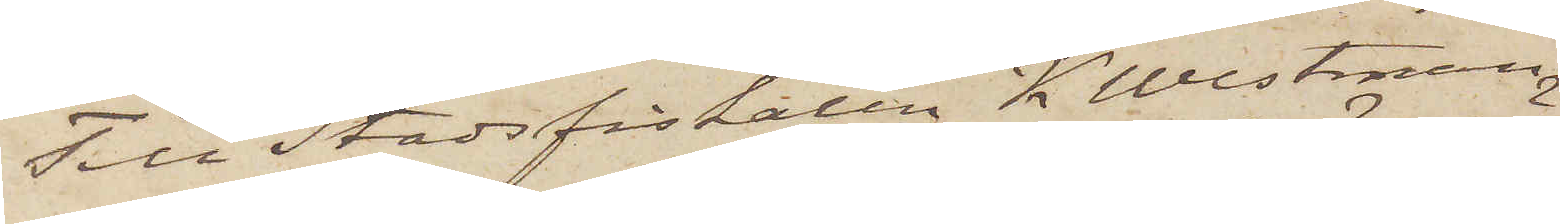Till Stadsfiskalen K. Westman.
